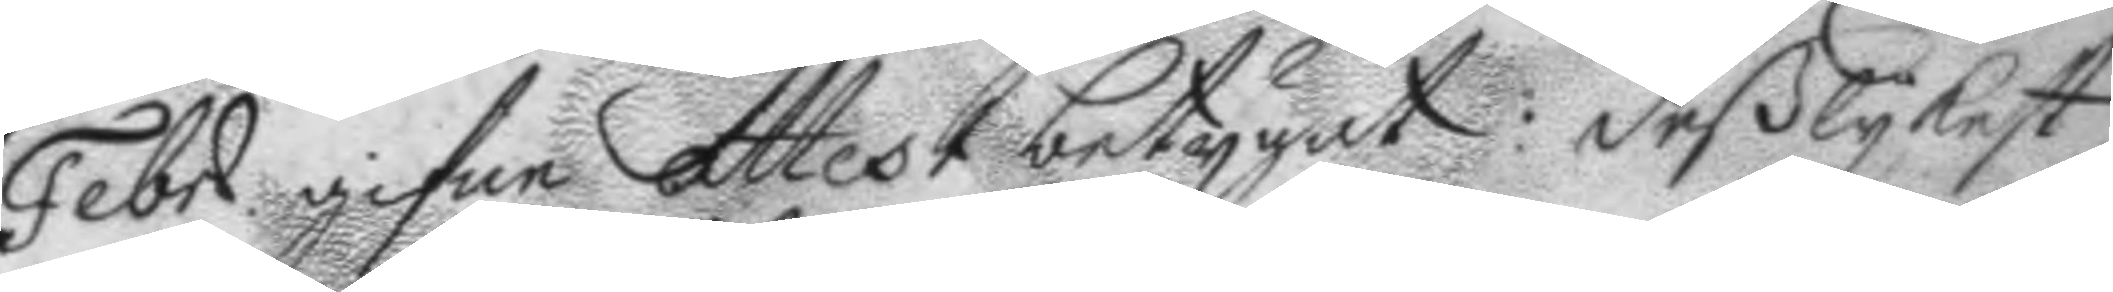Febr. gifne Attest betygat: deßlykest
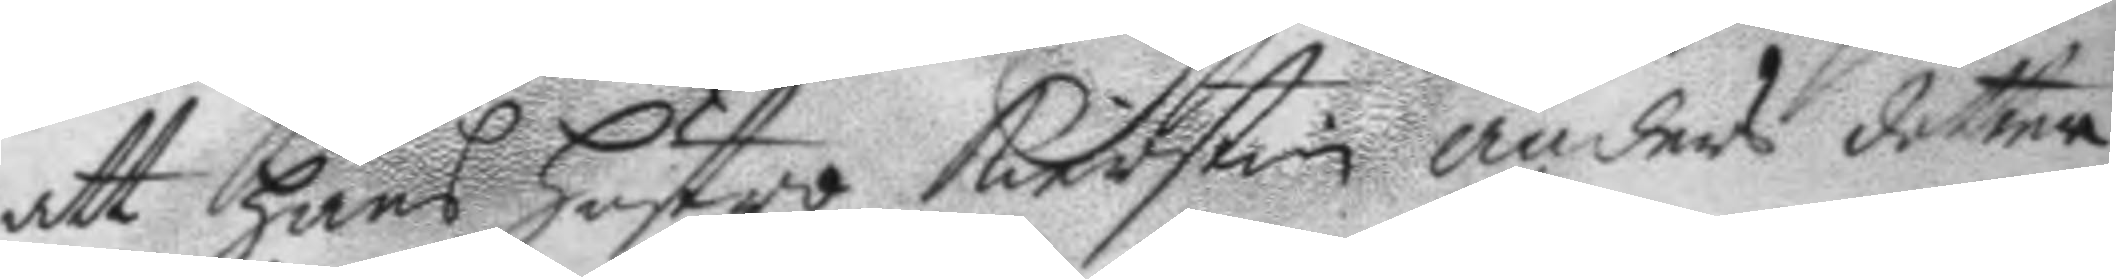att hans hustro Kierstin anders dotter
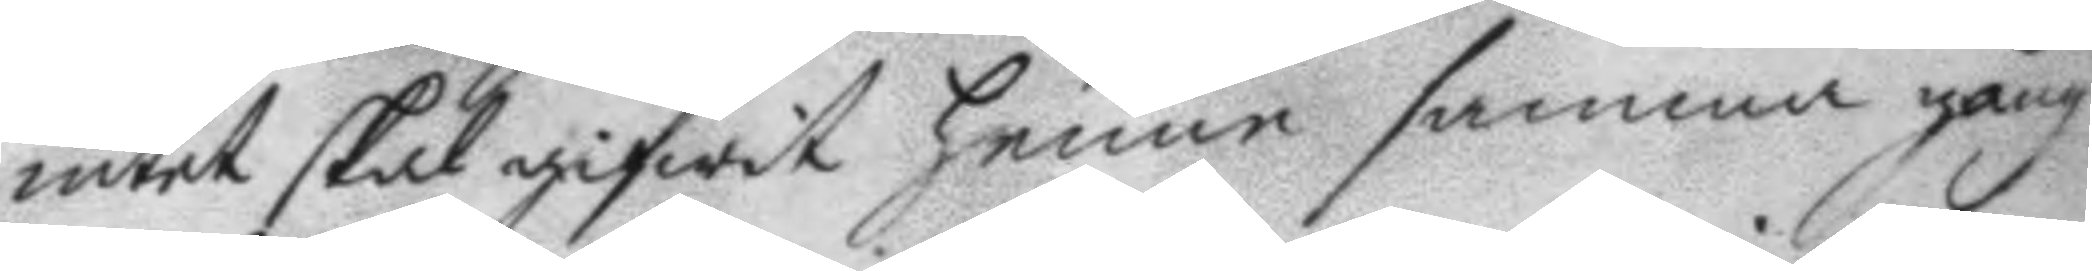intet skal gifwit henne samma gång
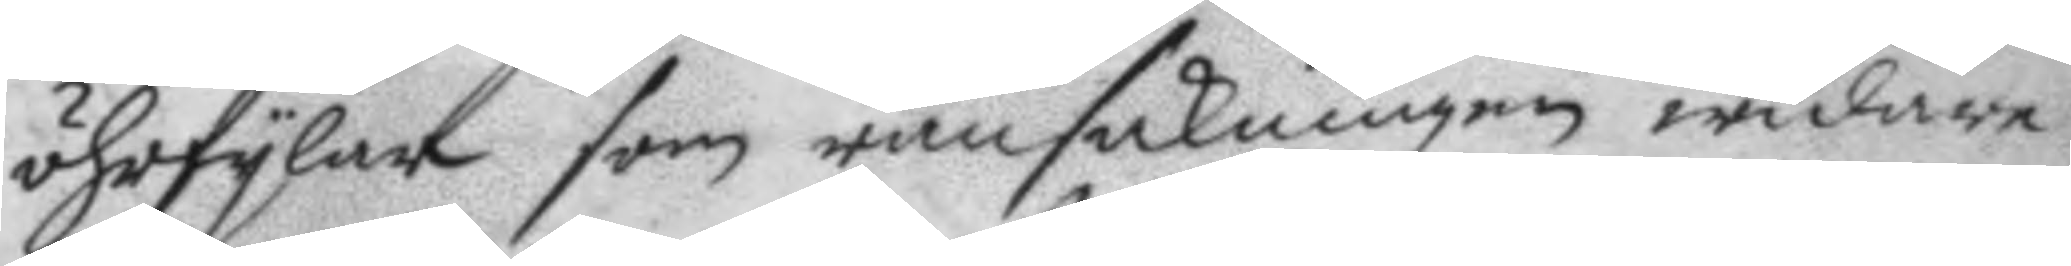öhrfylar som ransakningen widare
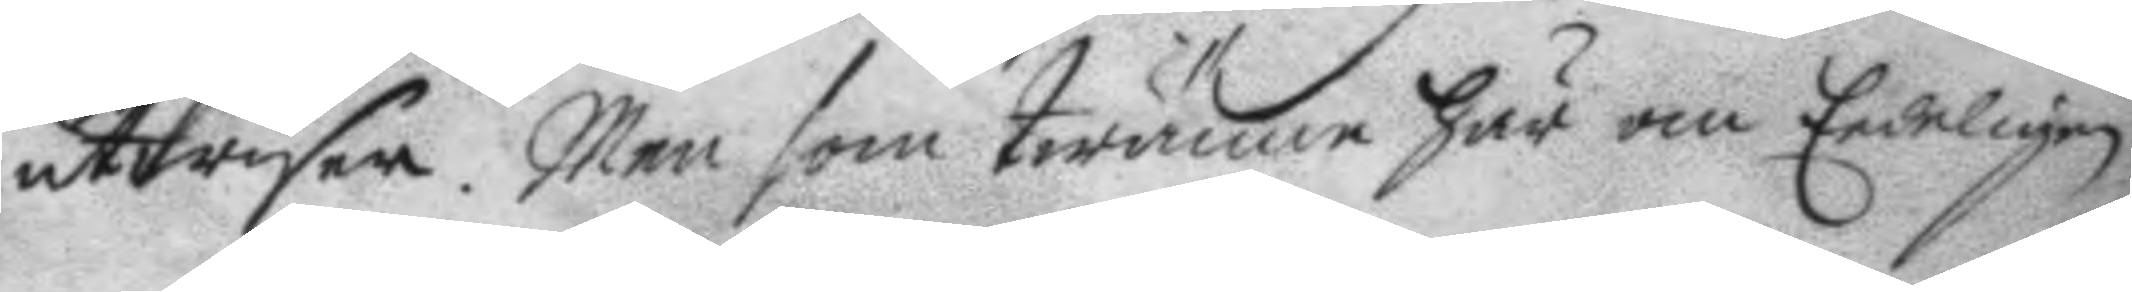utwiser. Men som twänne här om Edeligen
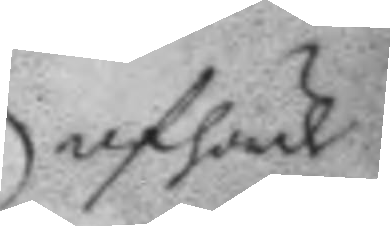afhörde
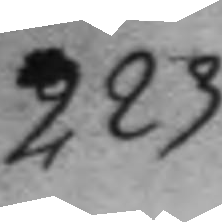223.
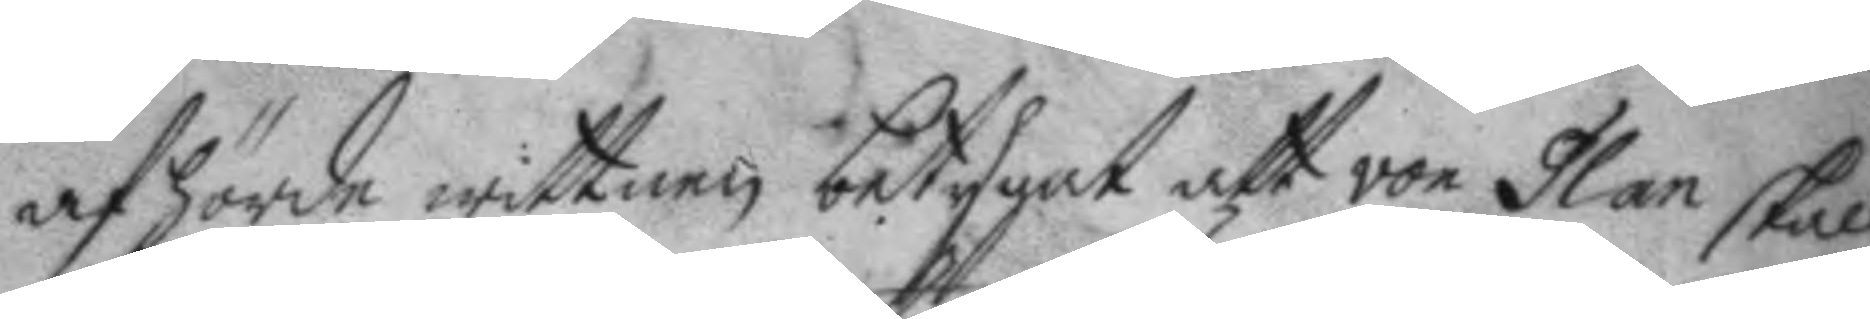afhörde wittnen betygat att von Glan skall
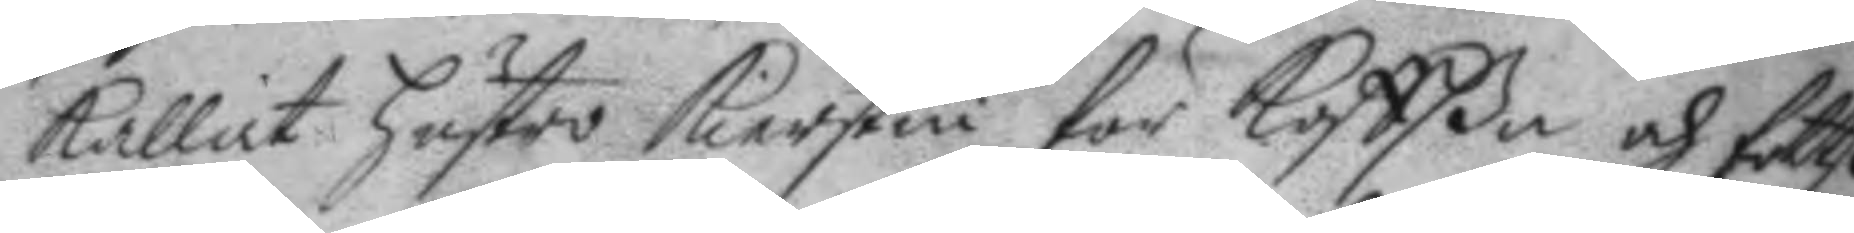kallat hustro Kierstin för Koffßa och fottßa
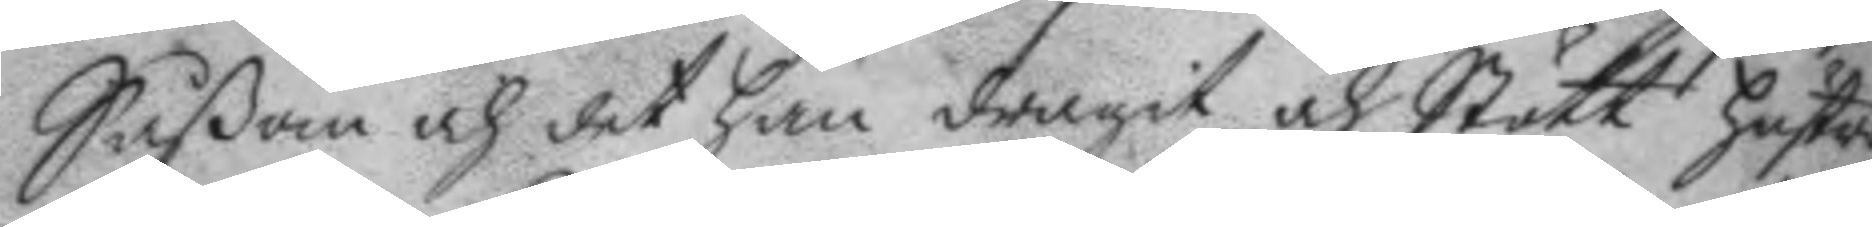Såsom och det han dragit och Stött hustro
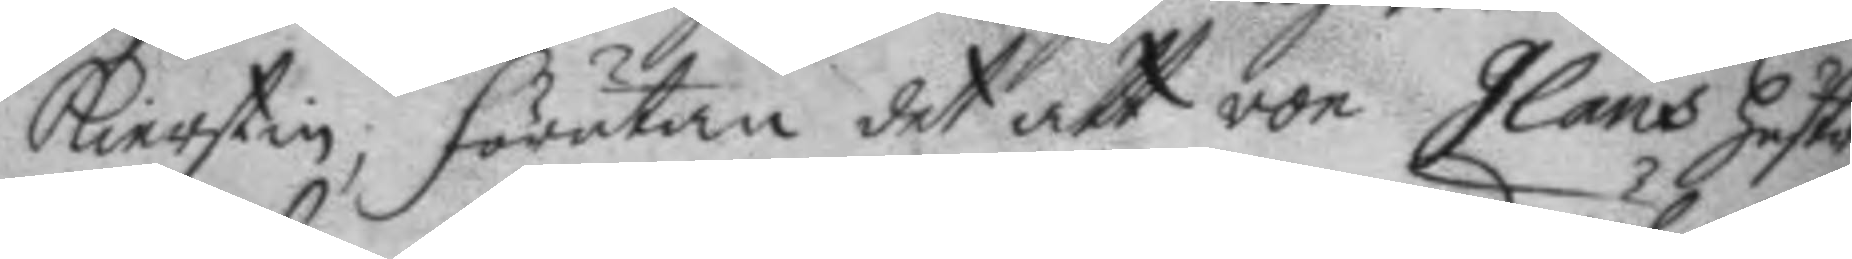Kierstin, förutan det att von Glans hustro
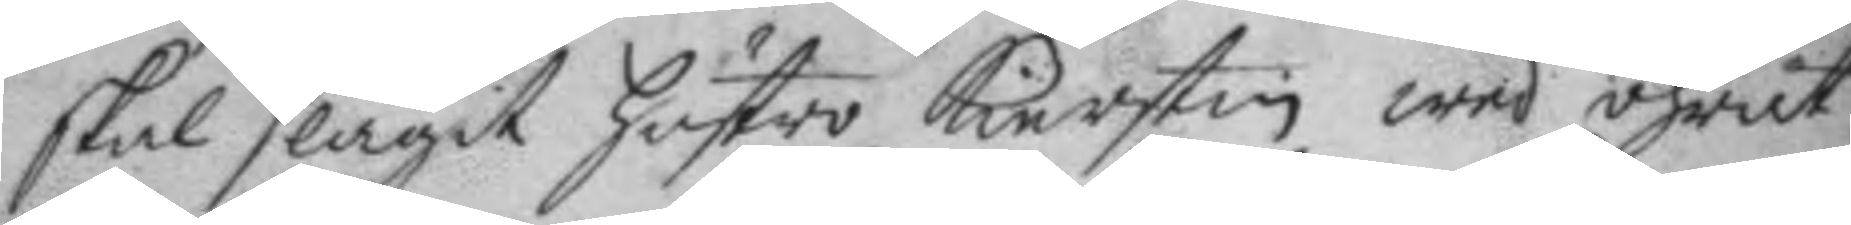skal slagit hustro Kierstin wed öhrat;
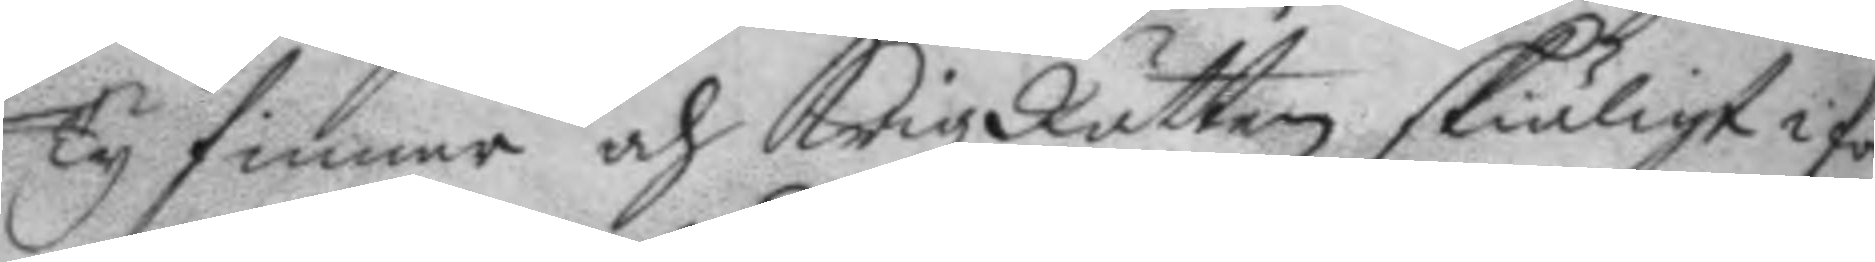Ty finner och KrigzRätten skiäligt i för¬
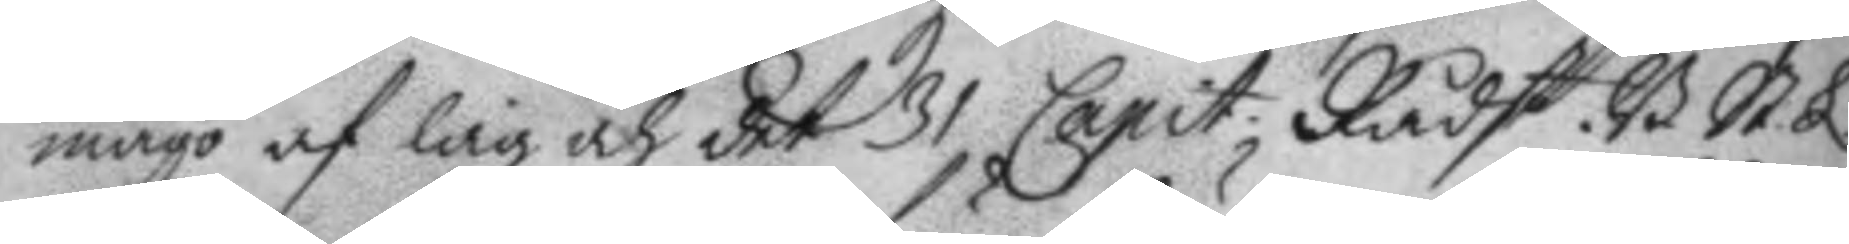mågo af lag och det 31 Capit; Rådst. B. St. L.
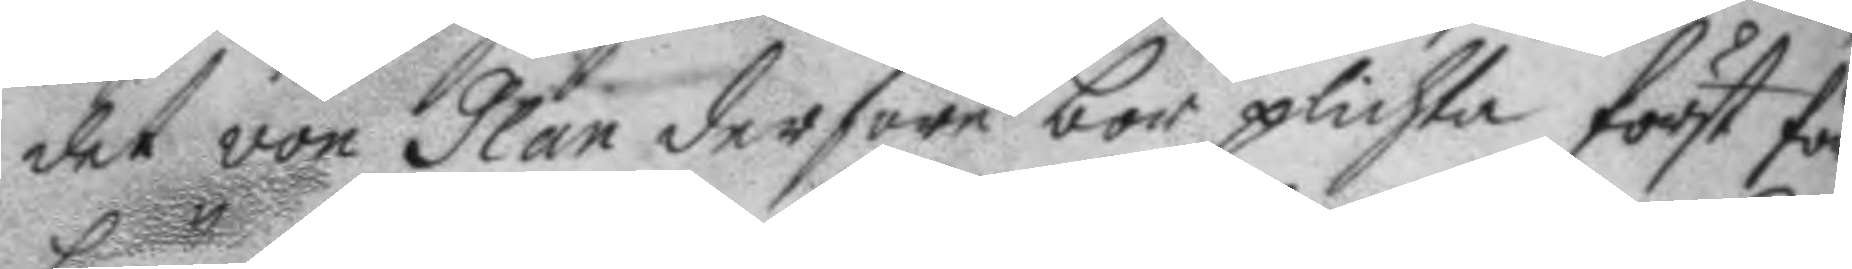det von Glan derföre bör plichta först för
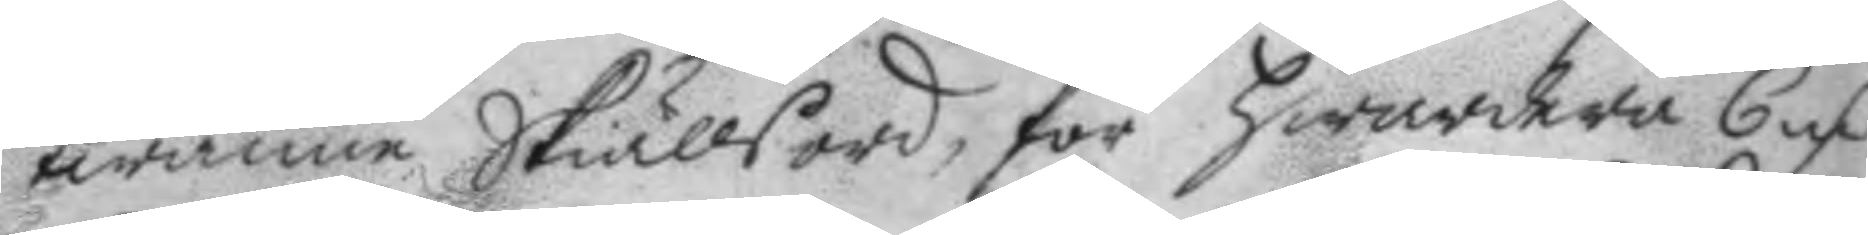twänne Skiällsord, för hwardera 6 mC
